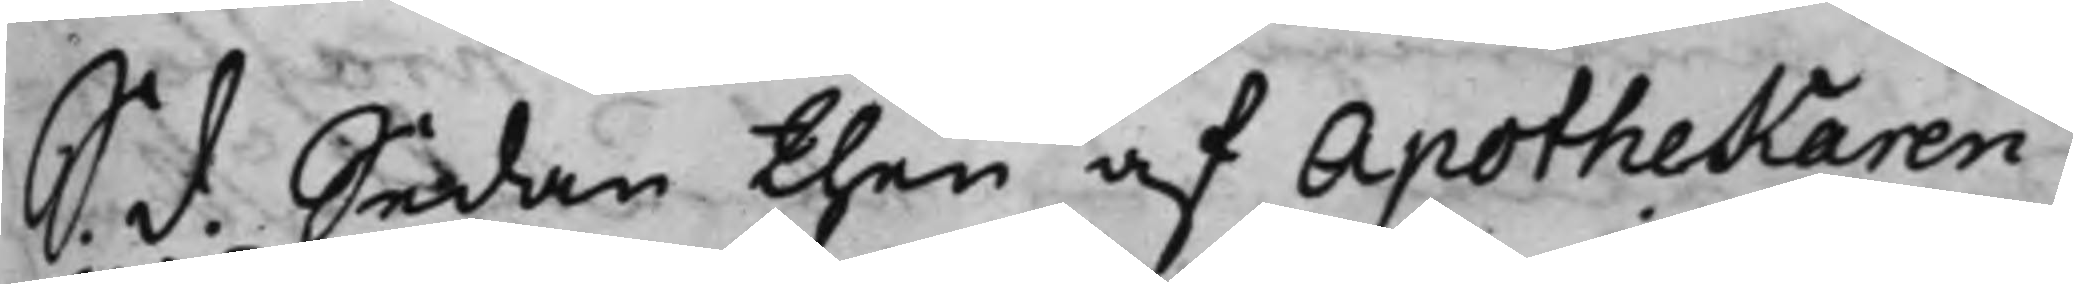S. d. Sedan then af Apothekaren
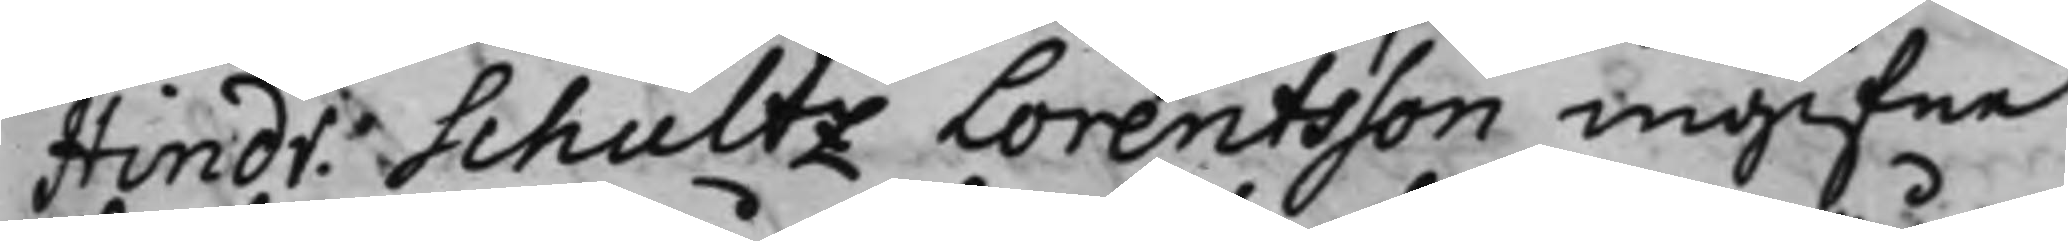Hindr. Schultz Lorentsson ingifne
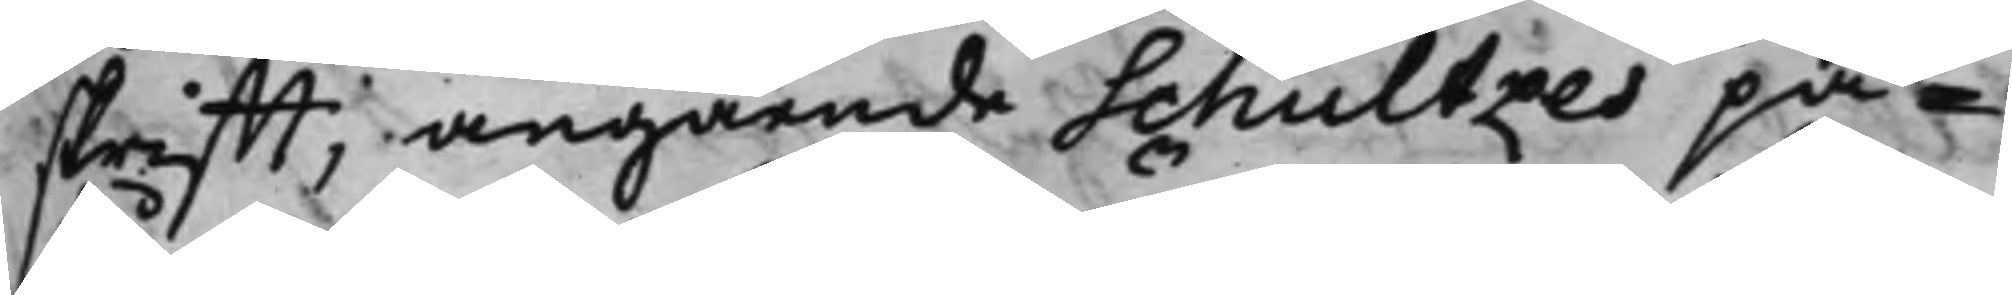skrifft, angående Schultzes på¬
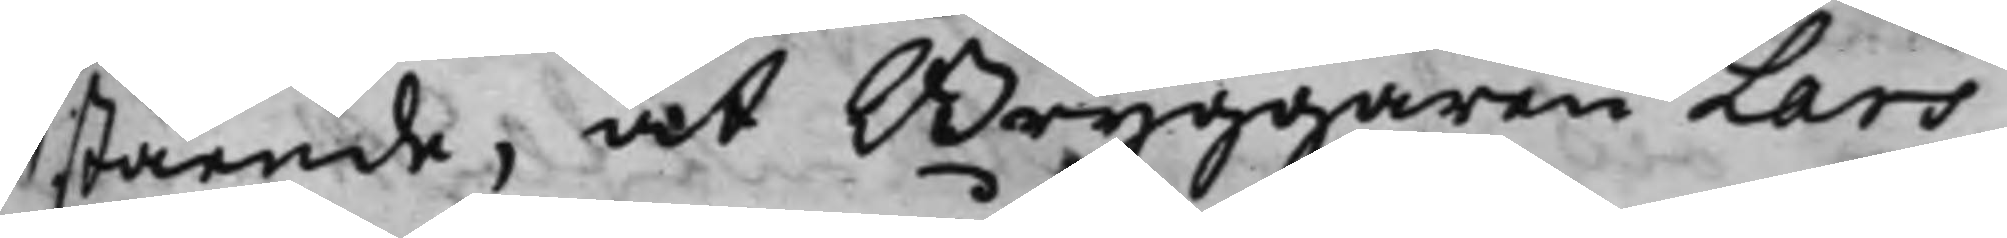stående, at Bryggaren Lars
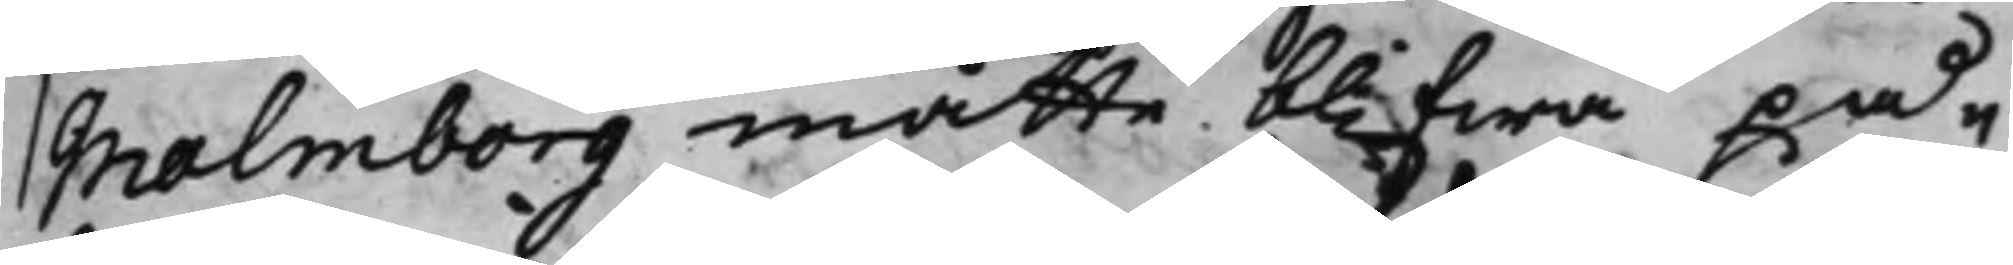Malmborg måtte blifwa på¬
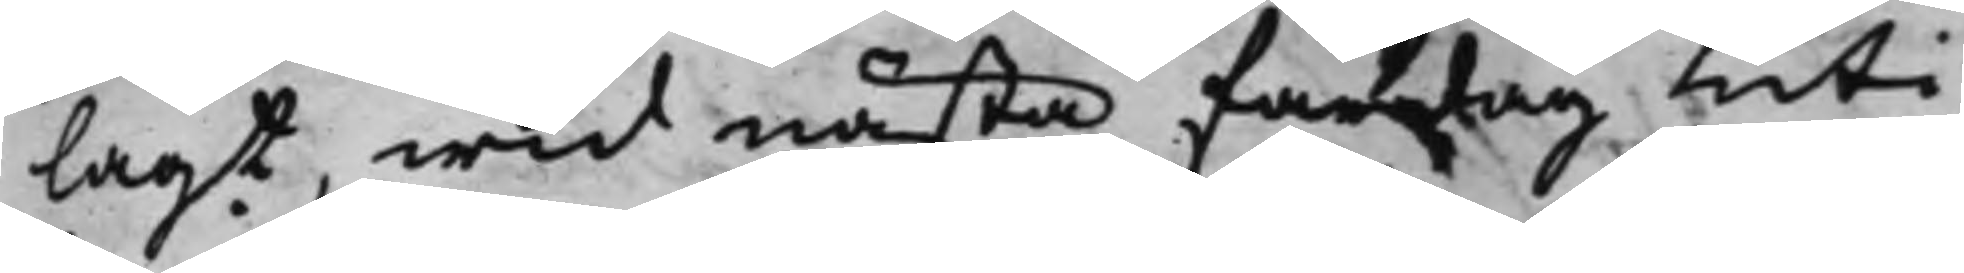lagt, wid nästa fardag uti
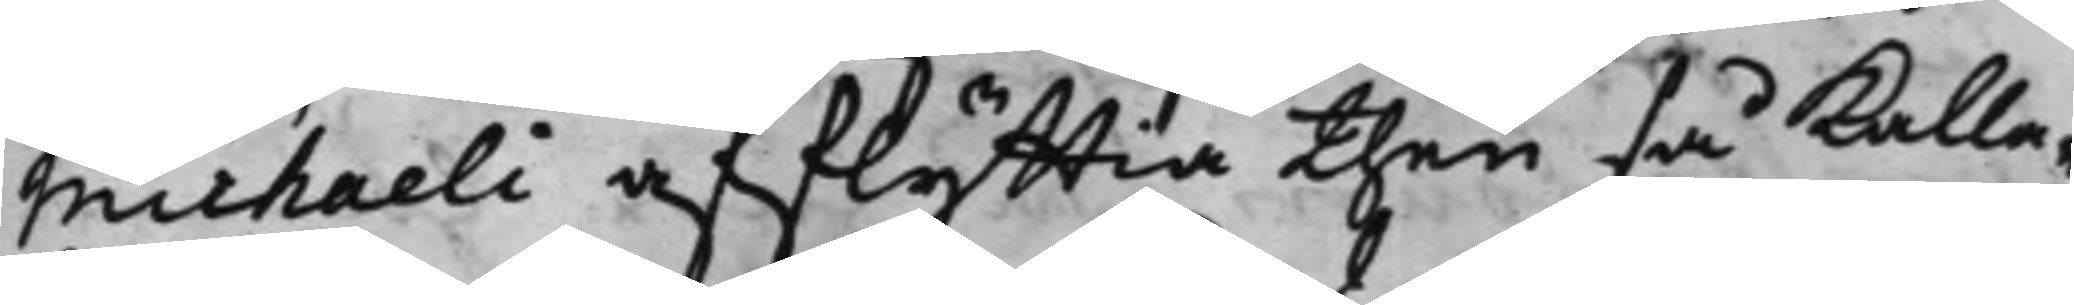Michaeli afflyttia then så kalla¬
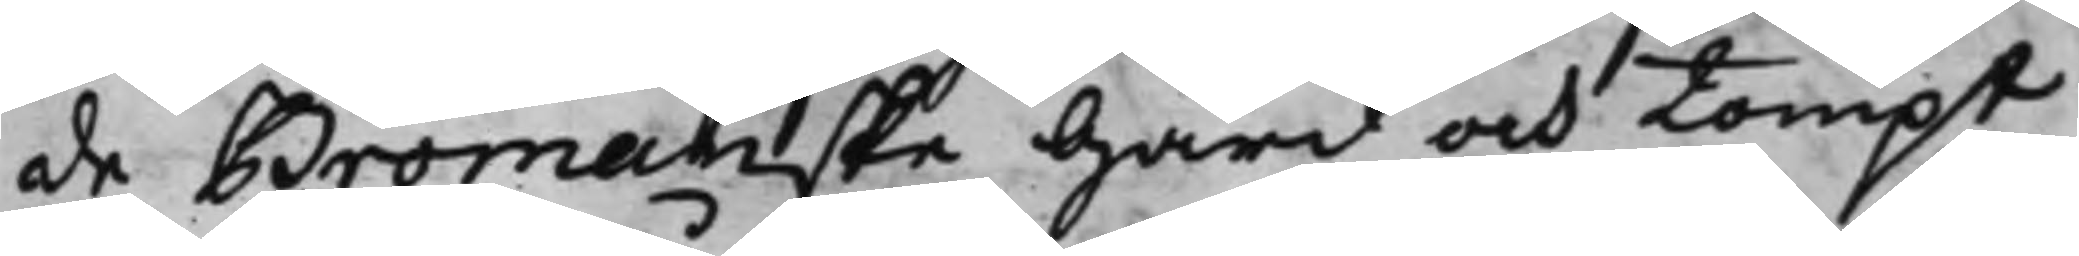de Bromanske Gård och tompt
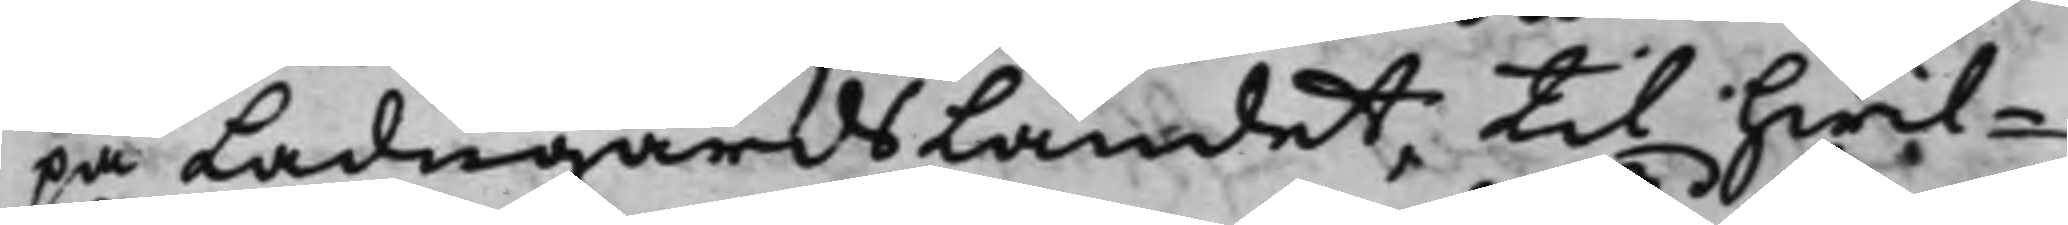på LadugårdsLandet, til hwil¬
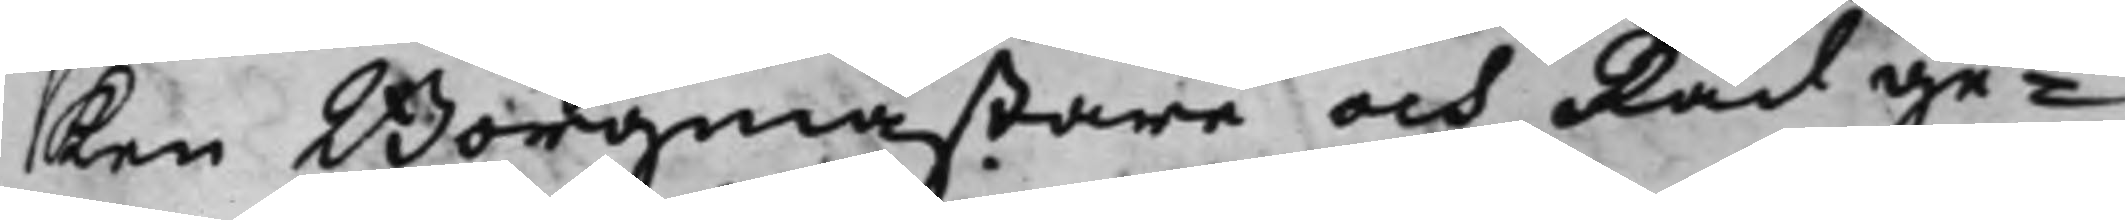ken Borgmästare och Råd ge¬
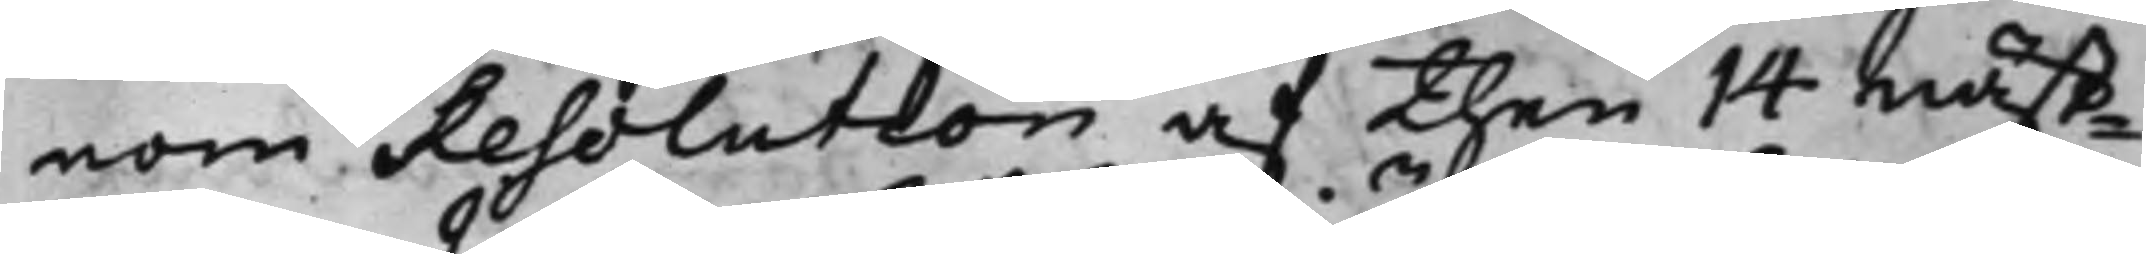nom Resolution af then 14 näst¬
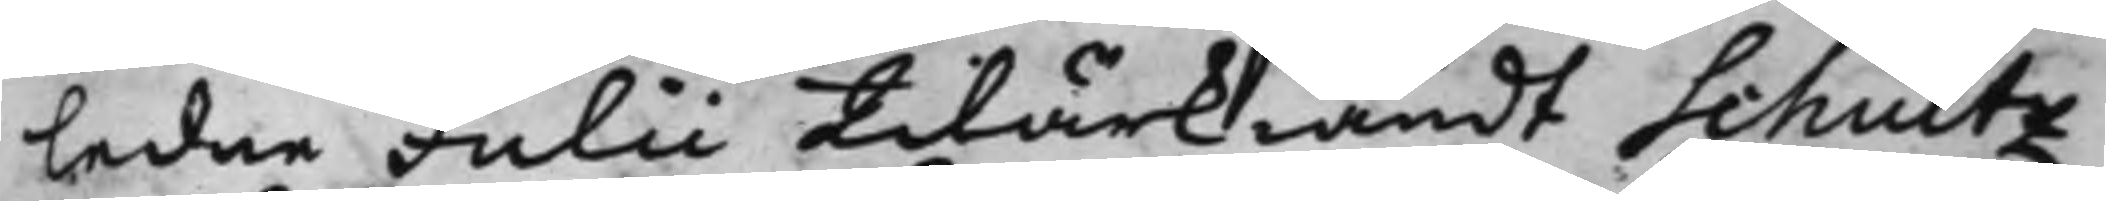ledne Julii tilärkiändt Schultz
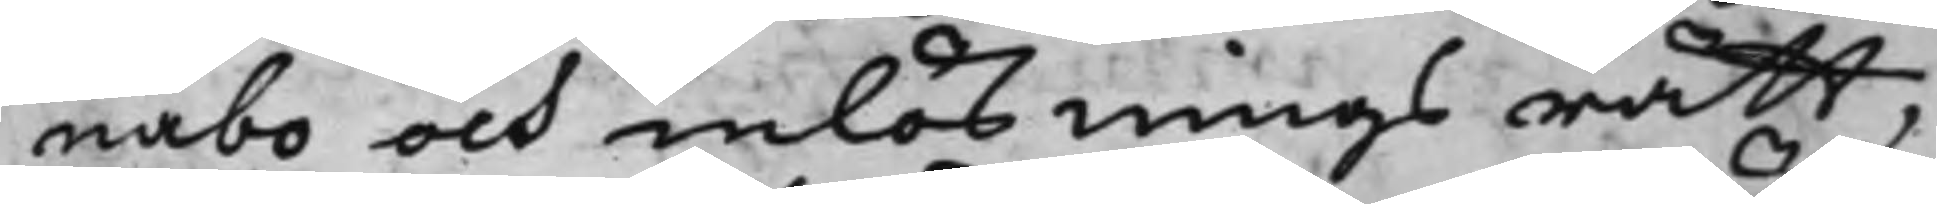nabo och inlösnings rätt,
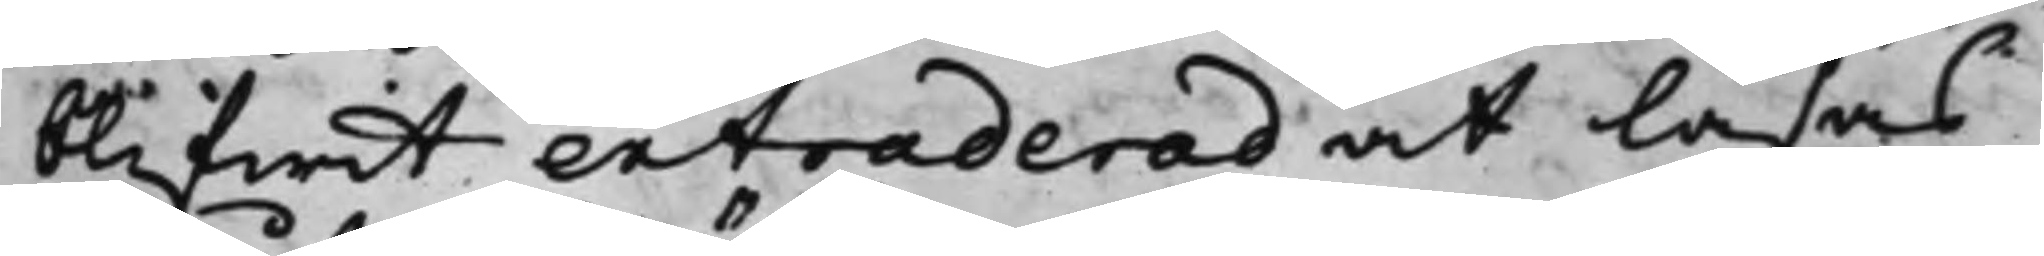blifwit extraderad at läsas
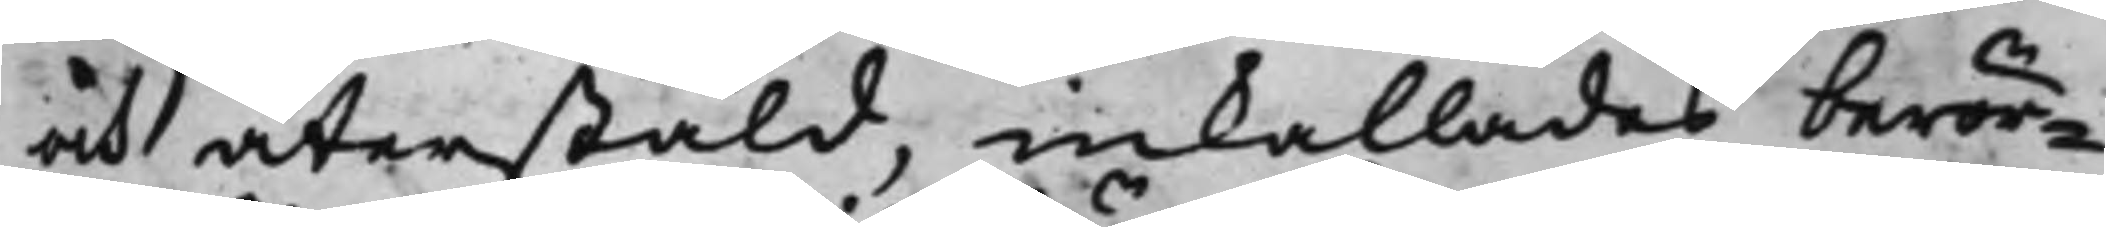och återstäld, inkallades berör¬
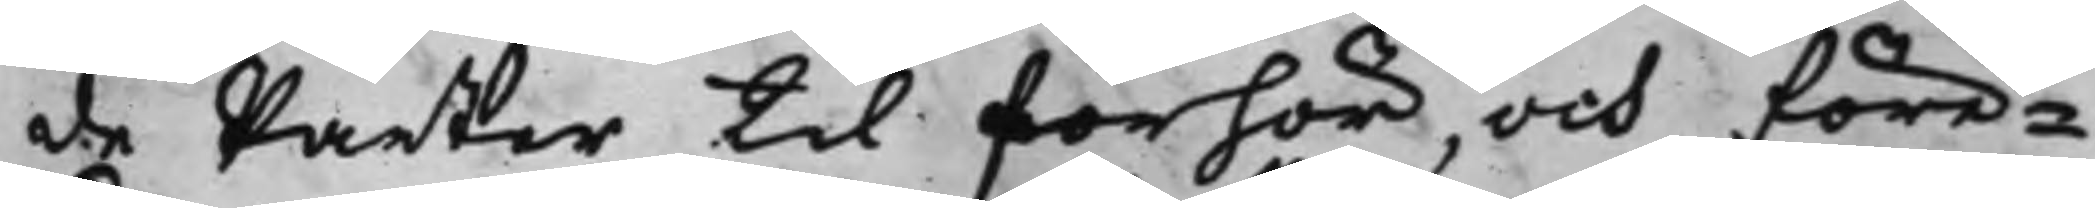de Parter til förhör, och före¬
